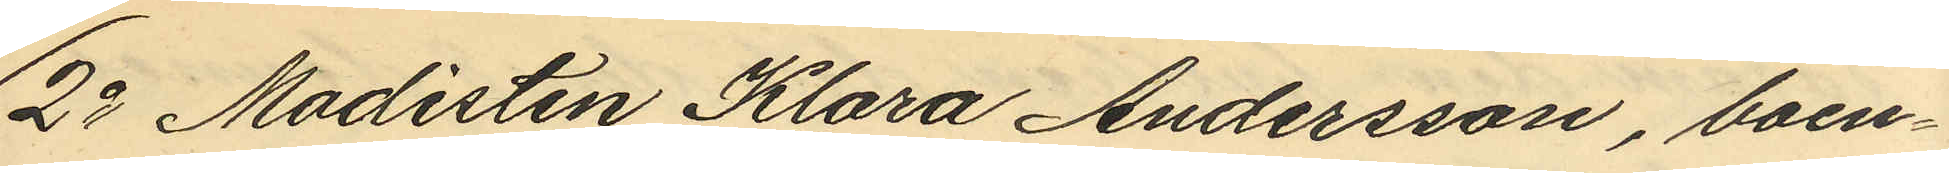2o Modisten Klara Andersson, boen¬
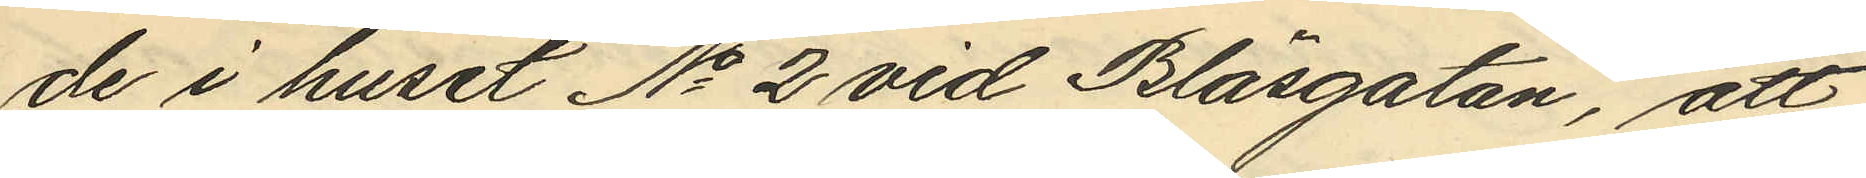de i huset No 2 vid Bläsgatan, att
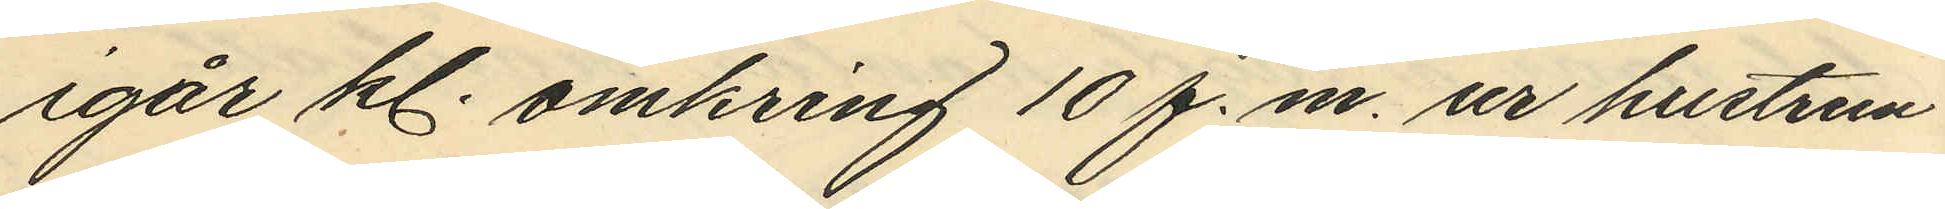igår kl. omkring 10 f.m. ur hustrun
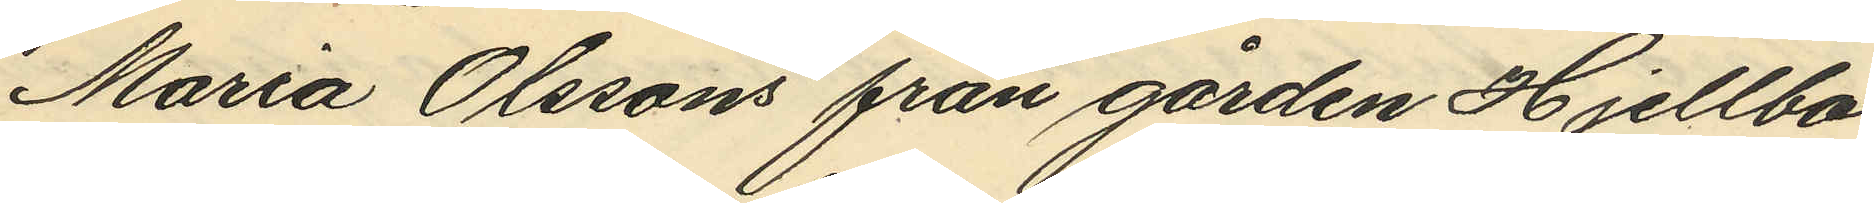Maria Olssons från gården Hjellbo
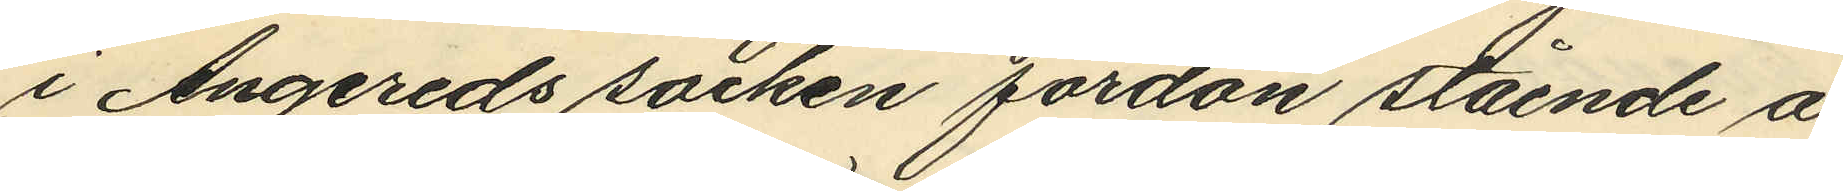i Angereds socken fordon stående å
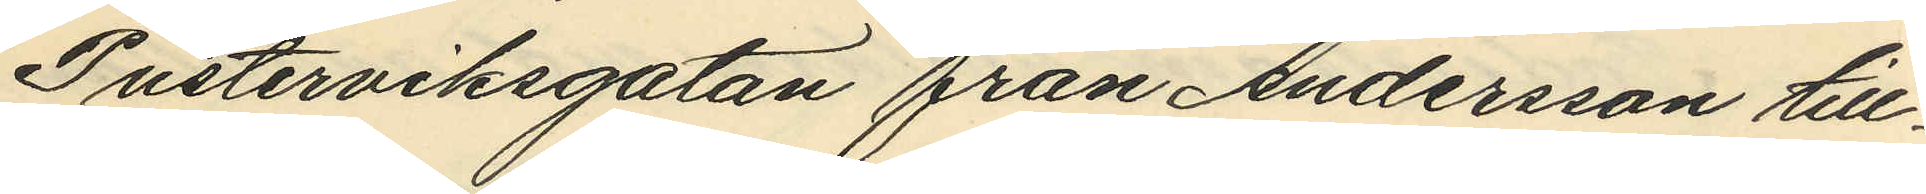Pusterviksgatan från Andersson till¬
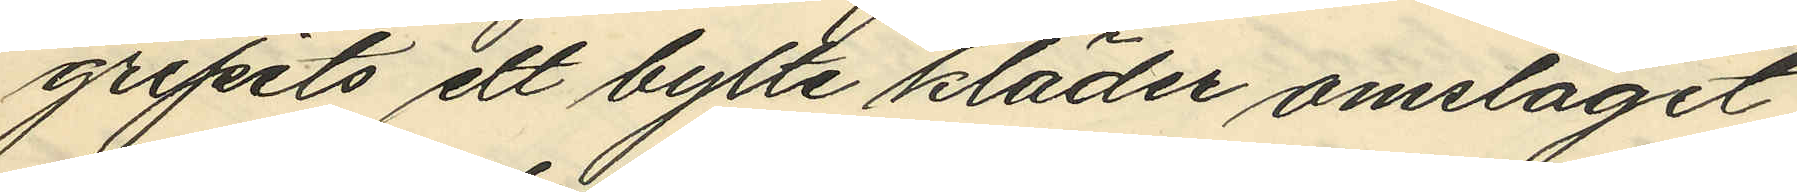gripits ett bylte kläder omslaget
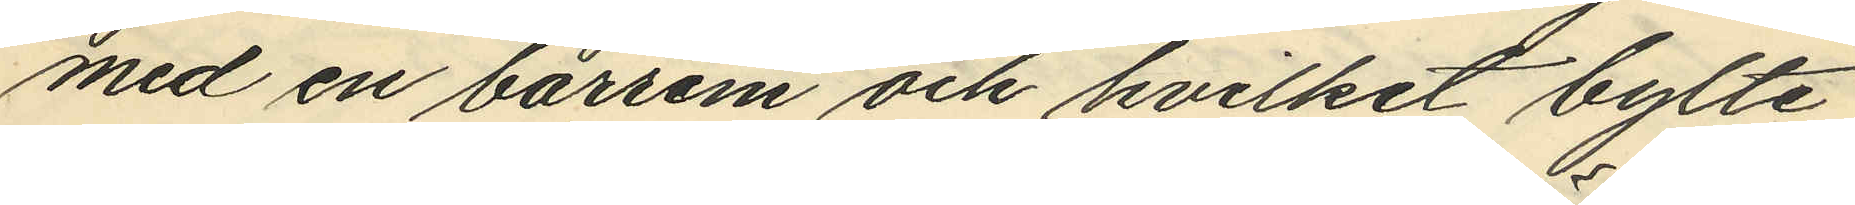med en bärrem och hvilket bylte
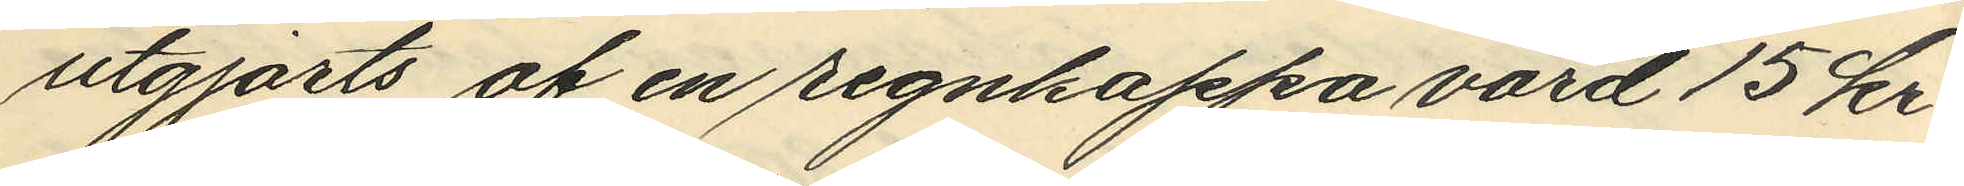utgjorts af en regnkappa värd 15 kr
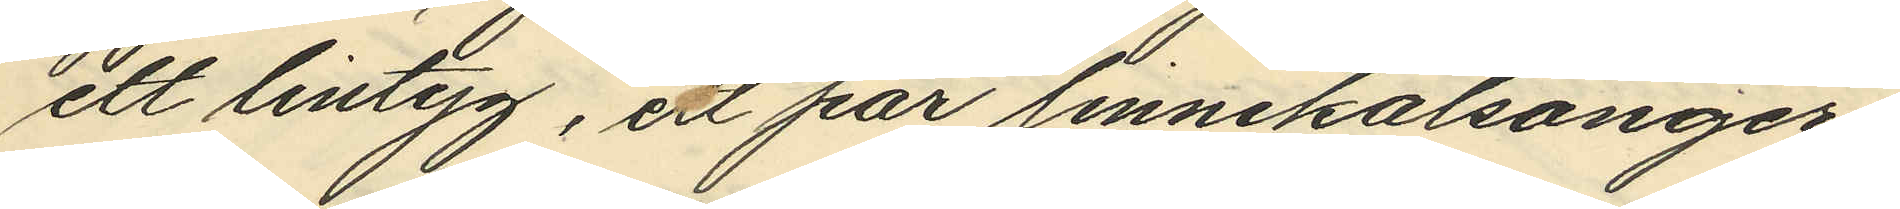ett lintyg, ett par linnekalsonger
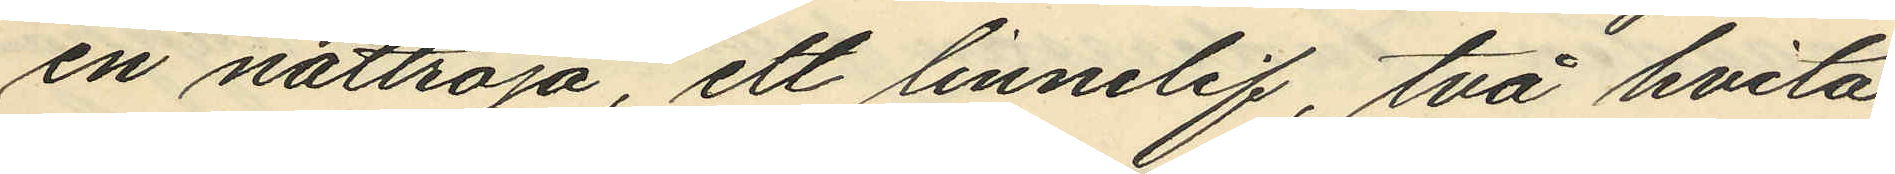en nattroja, ett linnelif, två hvita
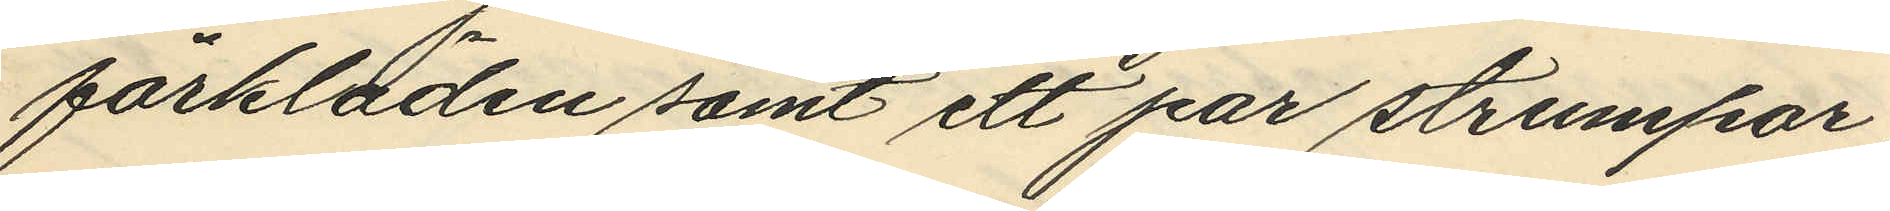förkläden samt ett par strumpar
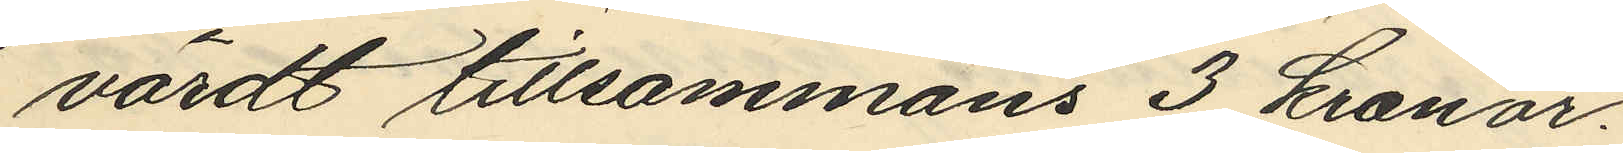värdt tillsammans 3 kronor.
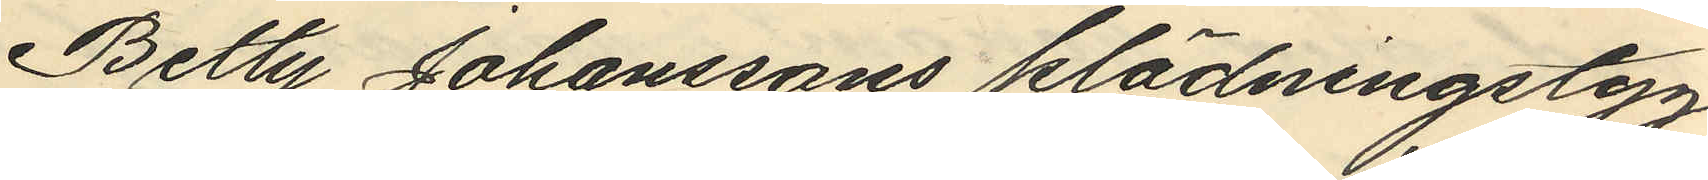Betty Johanssons klädningstyg
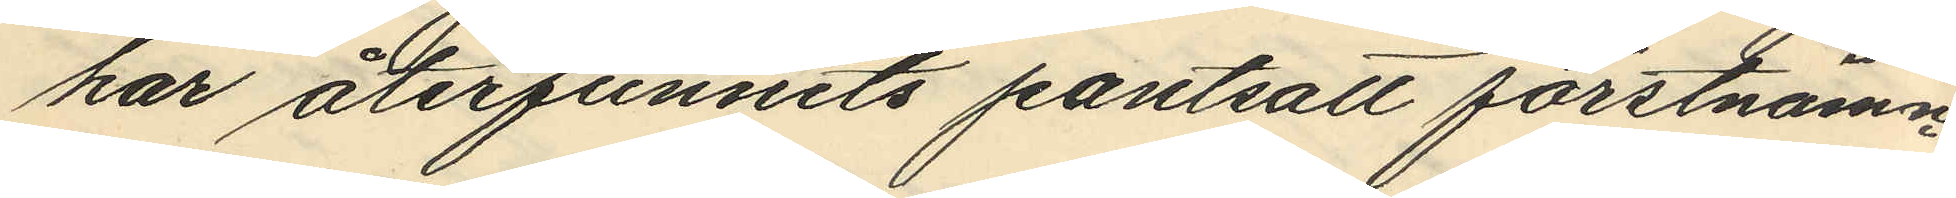har återfunnits pantsatt förstnämn¬
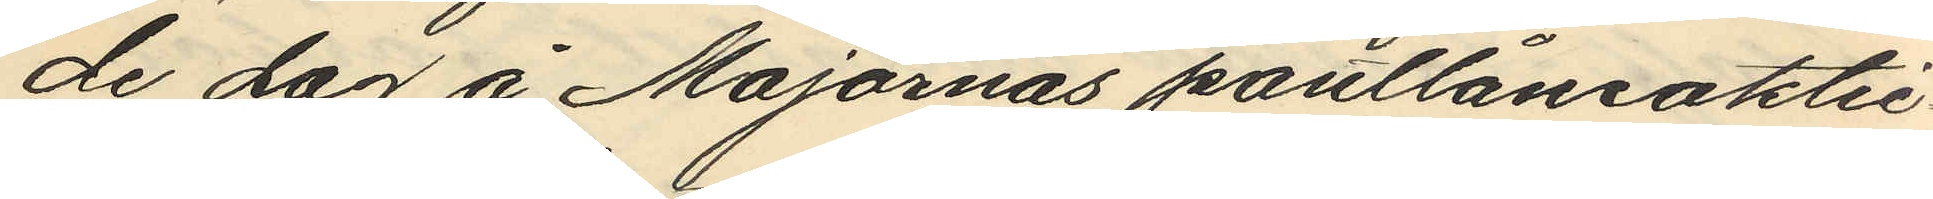de dag å Majornas pantlåneaktie
